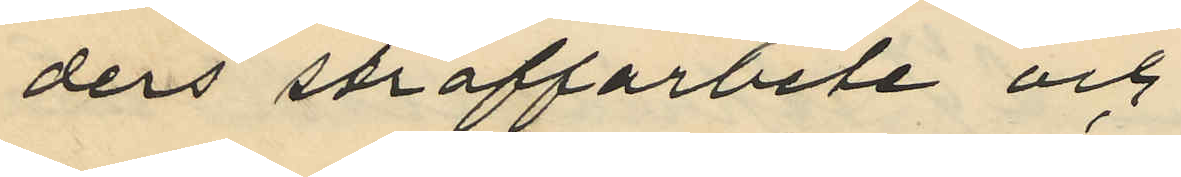ders straffarbete och
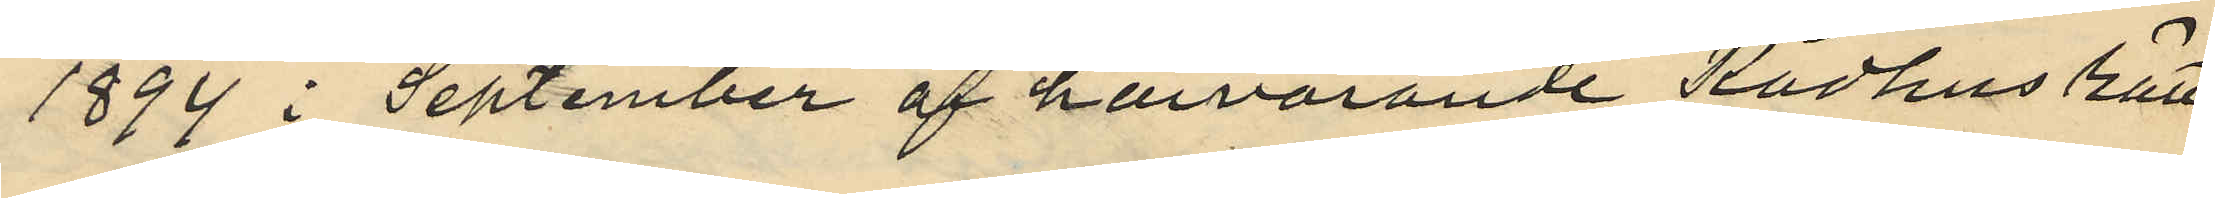1894 i September af härvarande Rådhus rätt
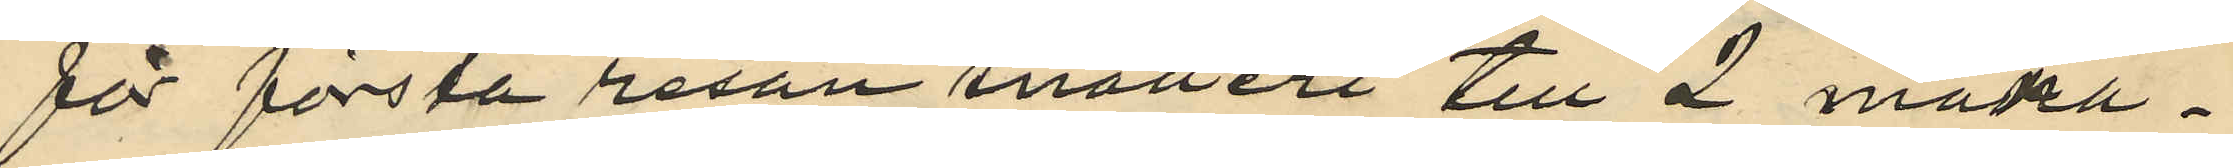för första resan snatteri till 2 måna¬
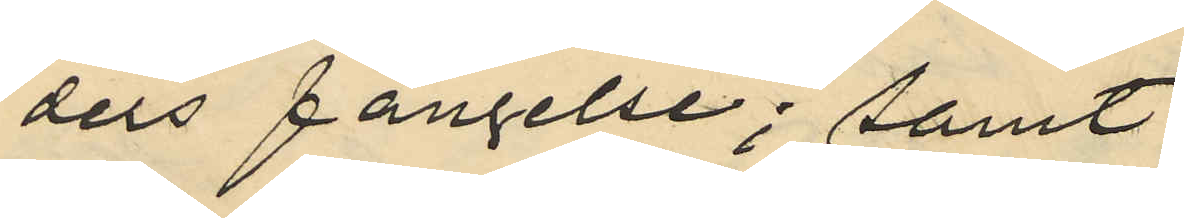ders fängelse; samt
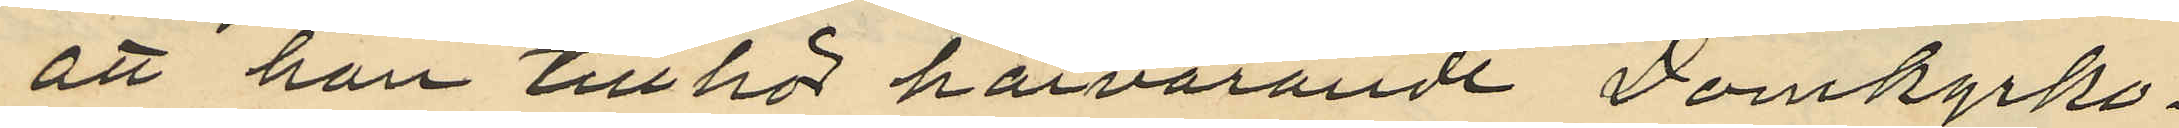att han tillhör härvarande Domkyrko¬
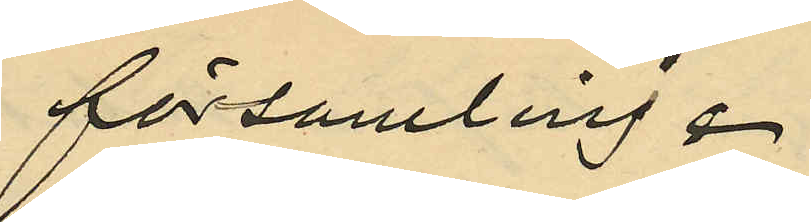församling .
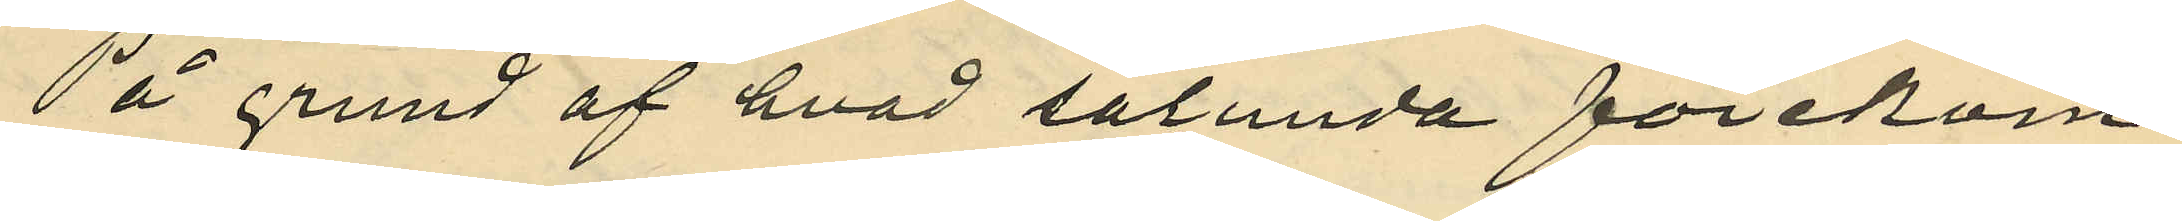På grund af hvad sålunda förekom¬
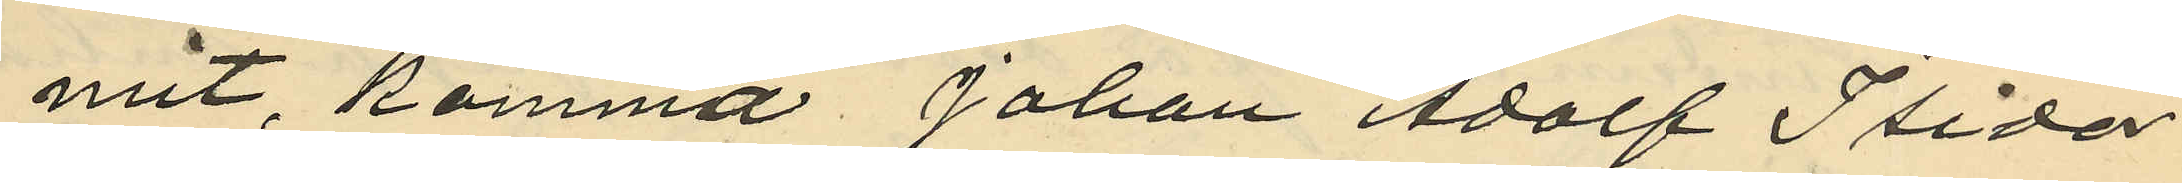mit, komma Johan Adolf Isidor
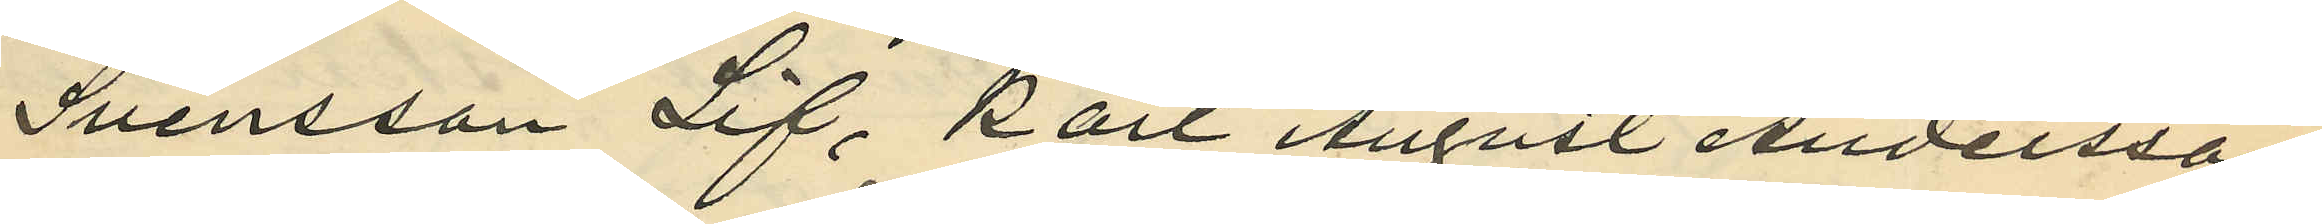Svensson Lif, Karl August Andersson
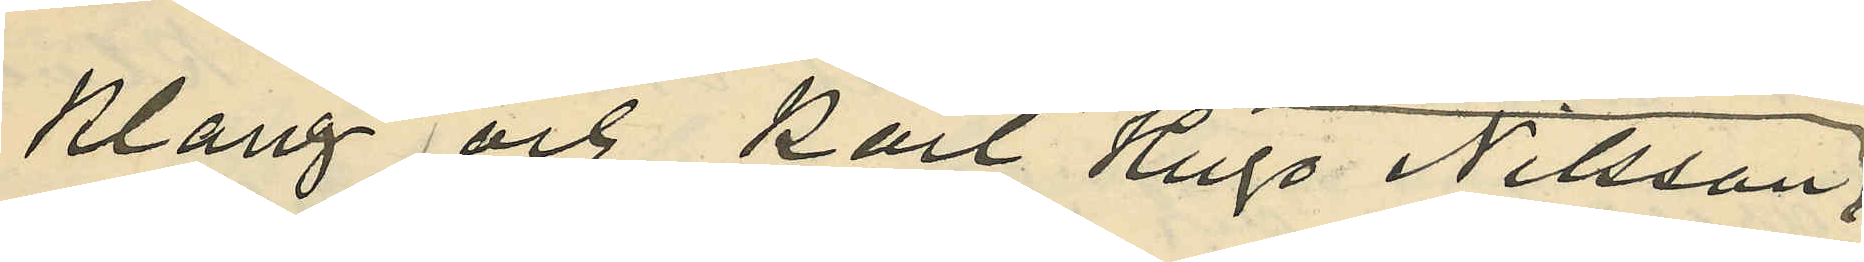Klang och Karl Hugo Nilsson,
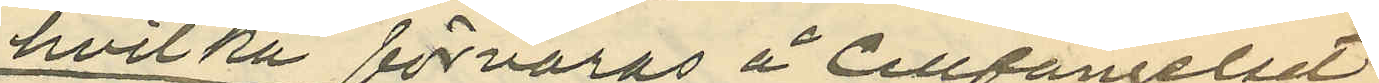hvilka förvaras å Cellfängelset
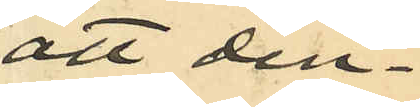att den¬
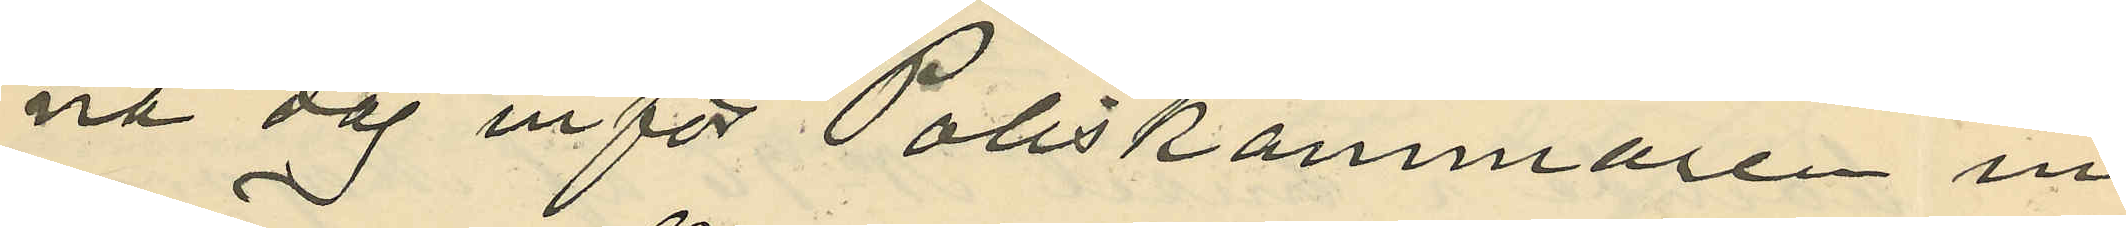na dag inför Poliskammaren in¬
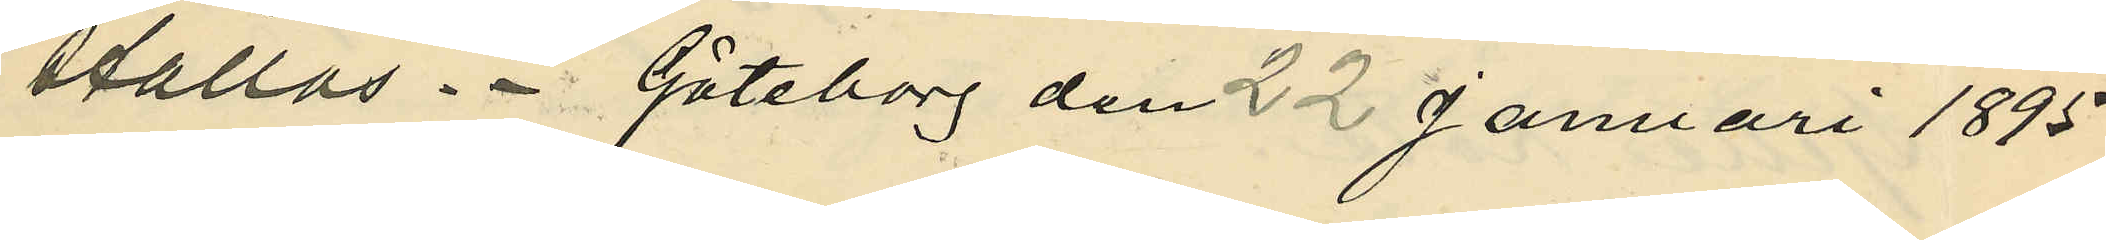ställas. Göteborg den 22 Januari 1895.
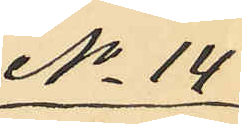No 14
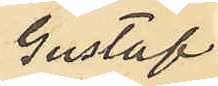Gustaf
